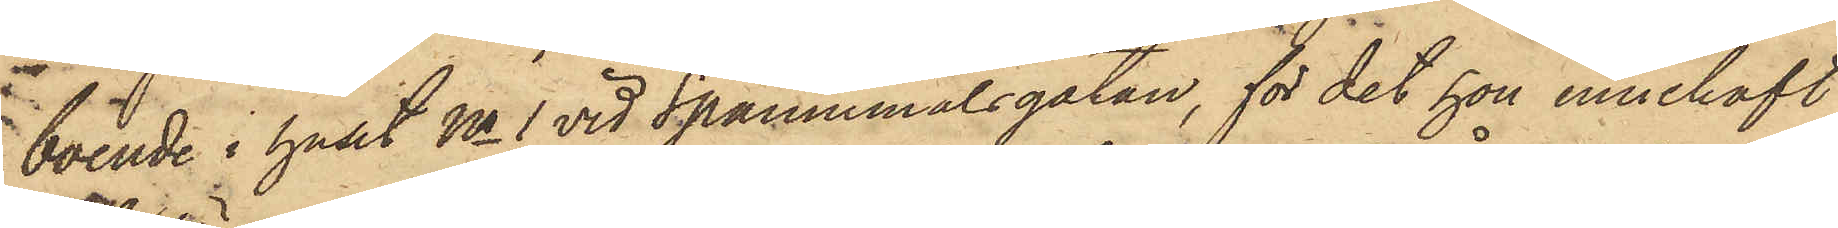boende i huset No 1 vid Spannemålsgatan, för det hon innehaft
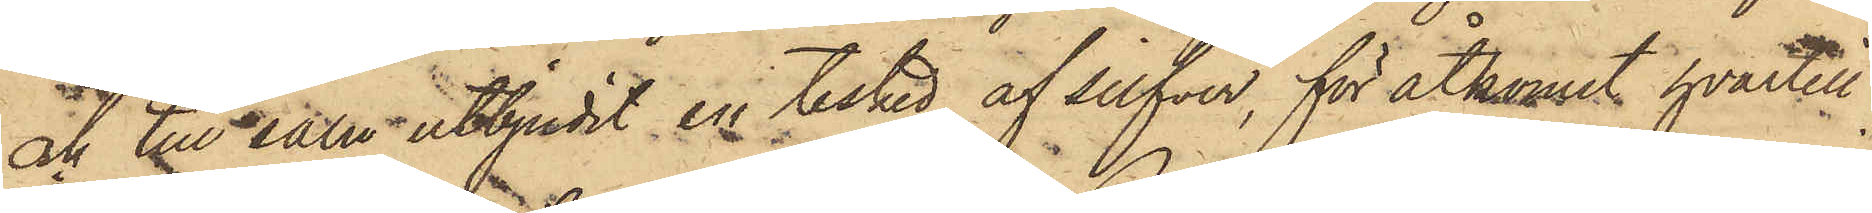och till salu utbjudit en tesked af silfver, för åtkomst hvartill
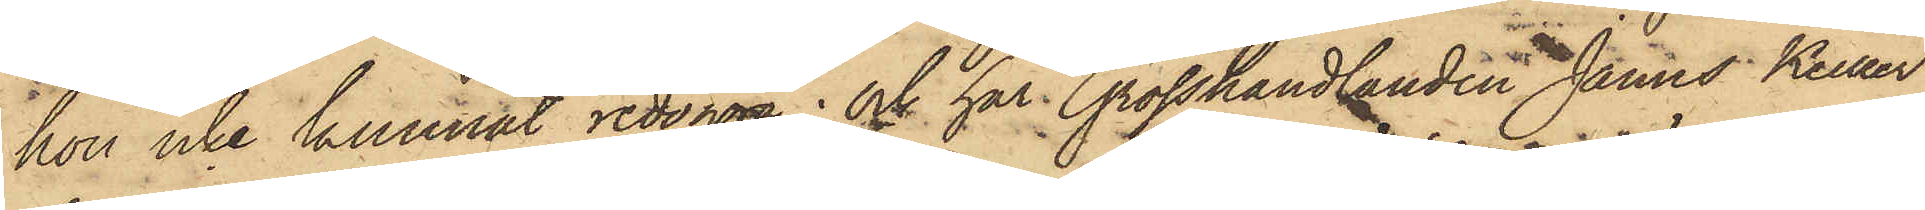hon icke kunnat redogöra; och har Grosshandlanden James Keiller,
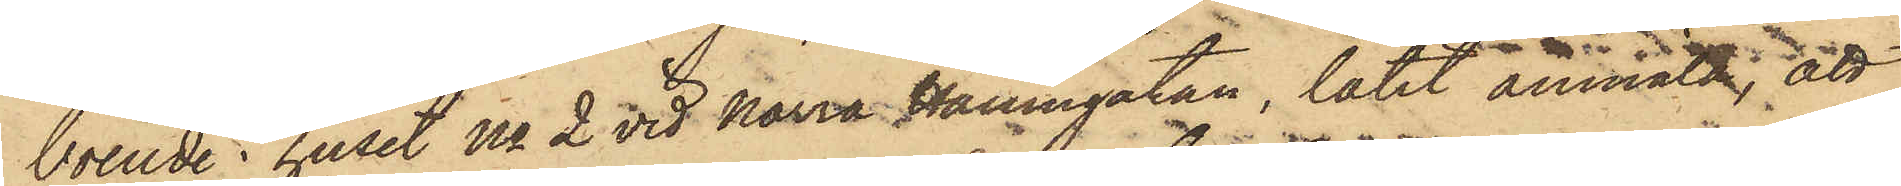boende i huset No 2 vid Norra Hamngatan, låtit anmält, att
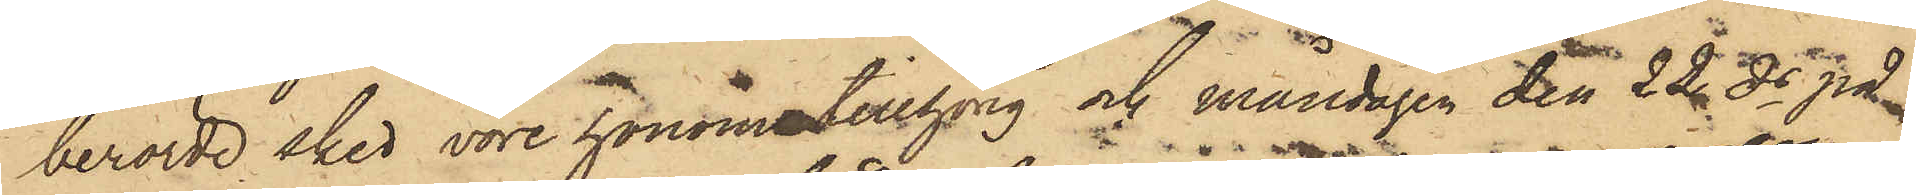berörde sked vore honom tillhörig och måndagen den 22 ds på
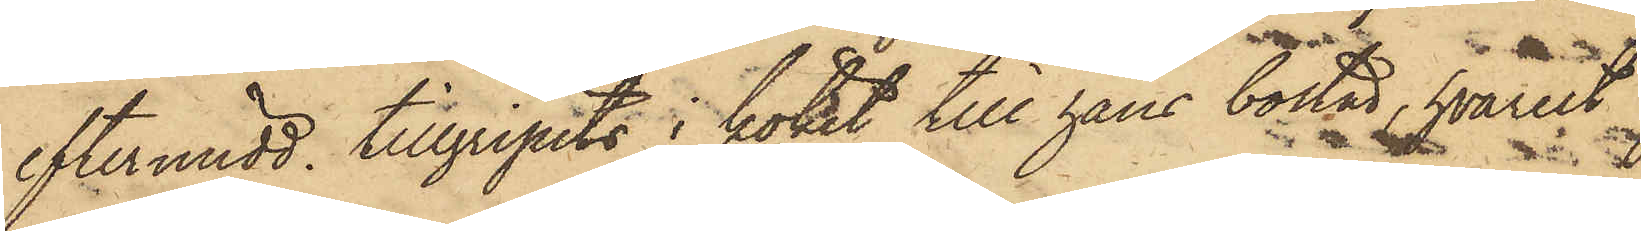eftermidd. tillgripits i köket till hans bostad, hvarest
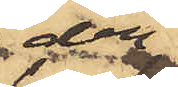den
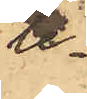le¬
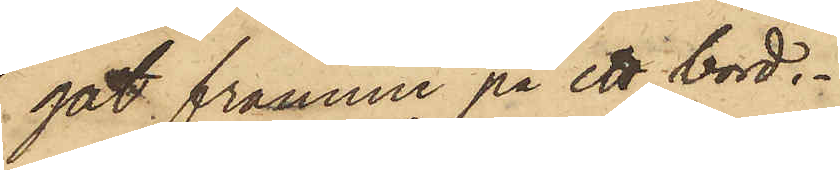gat framme på ett bord.
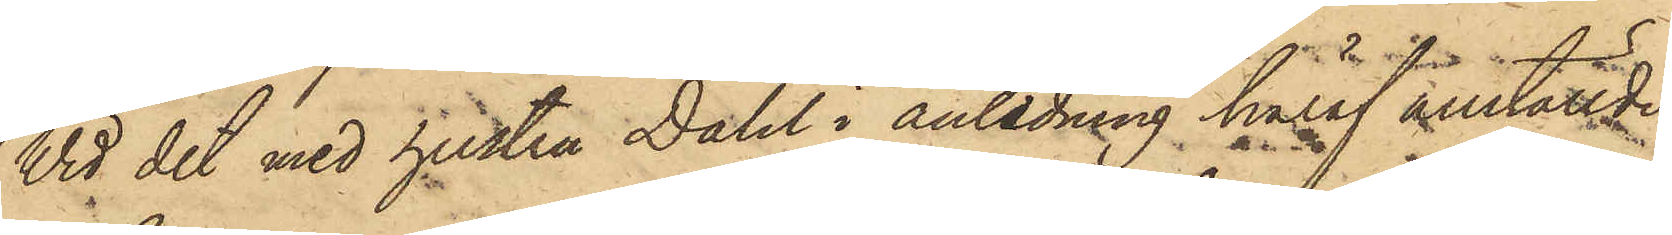Vid det med hustru Dahl i anledning häraf anställde
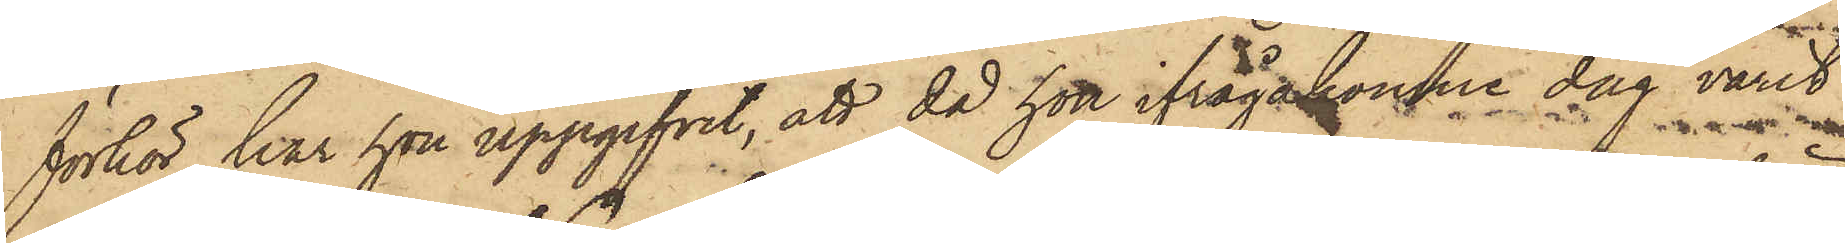förhör har hon uppgifvit, att då hon ifrågakomne dag varit
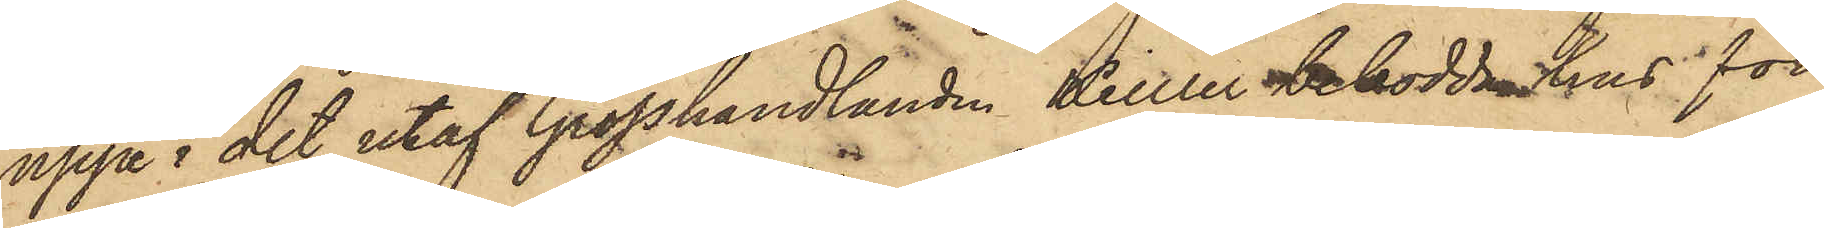uppe i det utaf Grosshandlanden Keiller bebodda hus för
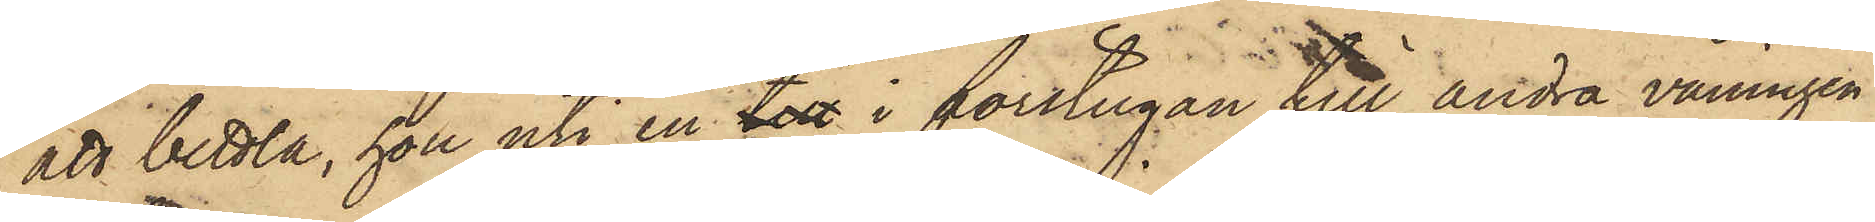att bettla, hon uti en till i förstugan till andra våningen
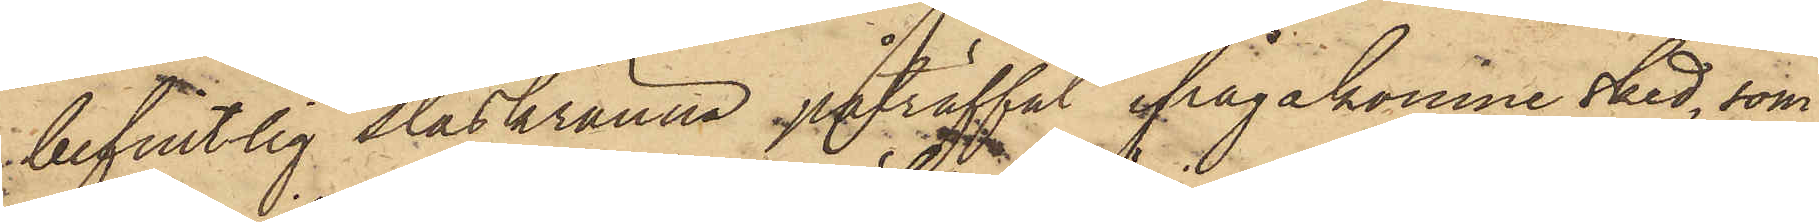befintlig slaskränna anträffat ifrågakomne sked, som
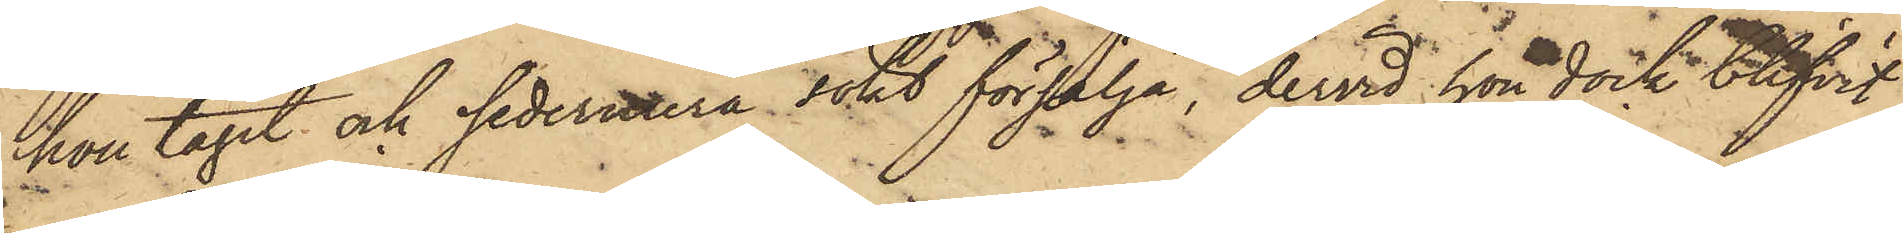hon tagit och sedermtera sökt försälja, dervid hon dock blifvit
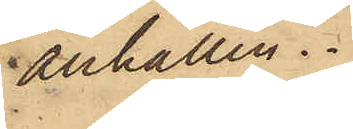anhållen.
